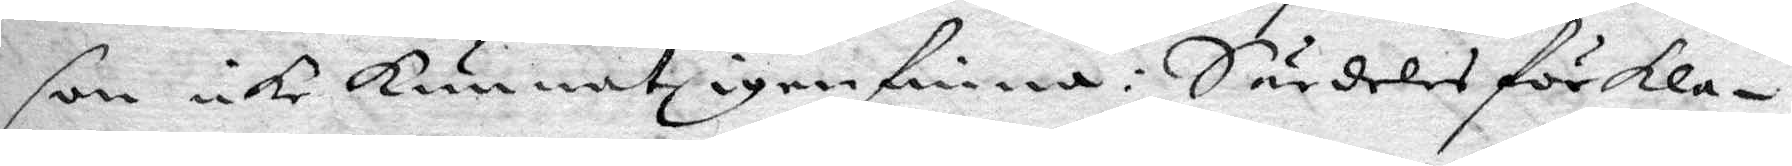son icke kunnat igenfinna: Särdeles förkla¬
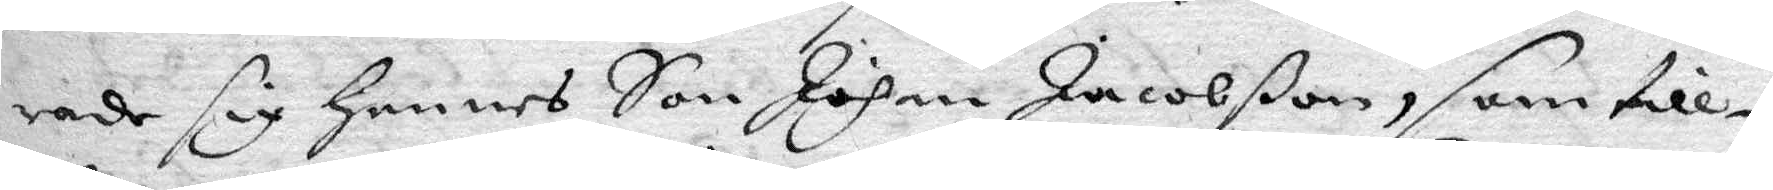rade sig Hennes Son Johan Jacobßon, som till¬
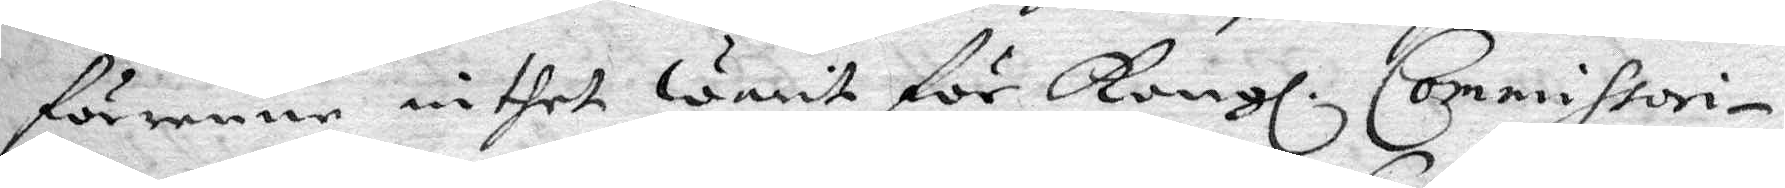förenne inthet warit för Kongl. Commissori¬
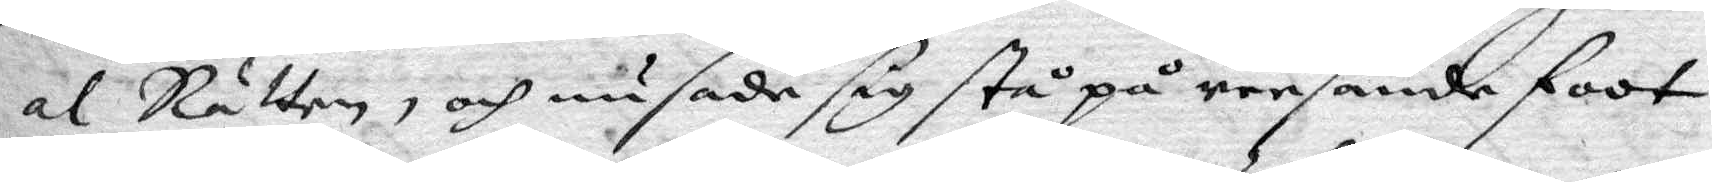al Rätten, och nu sade sig stå på reesande foot,
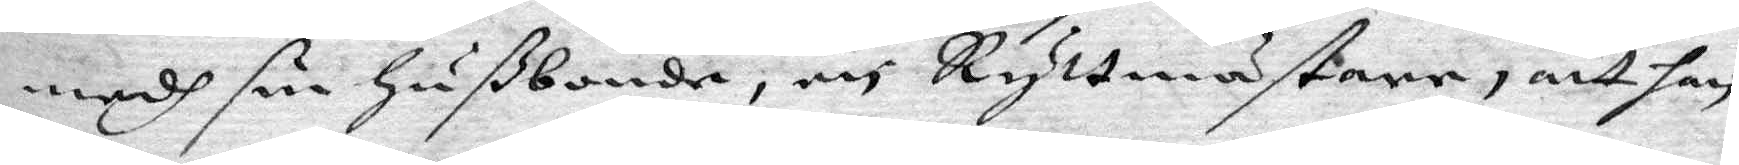medh sin Hußbonde, och Ryttmästare, att han
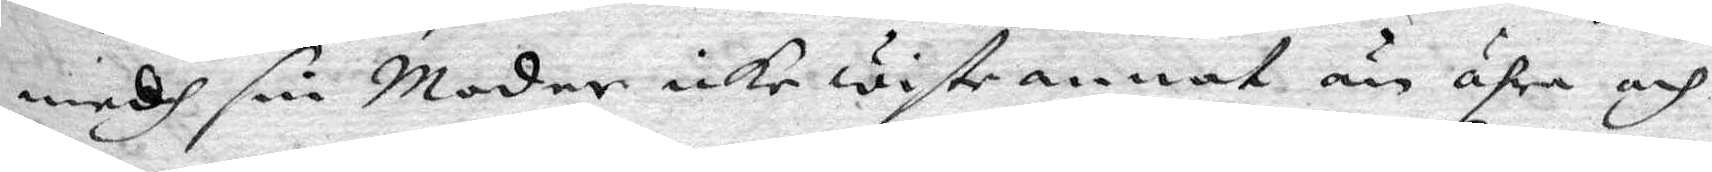medh sin Moder icke wiste annat än ähra och
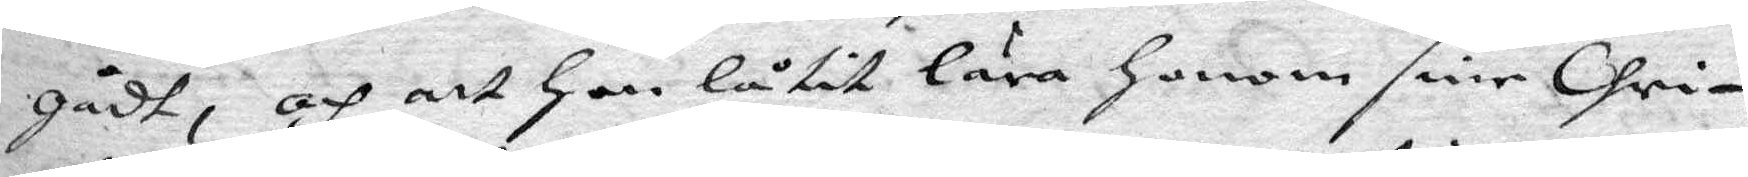gådt, och att Hon låtit lära Honom sine Chri¬
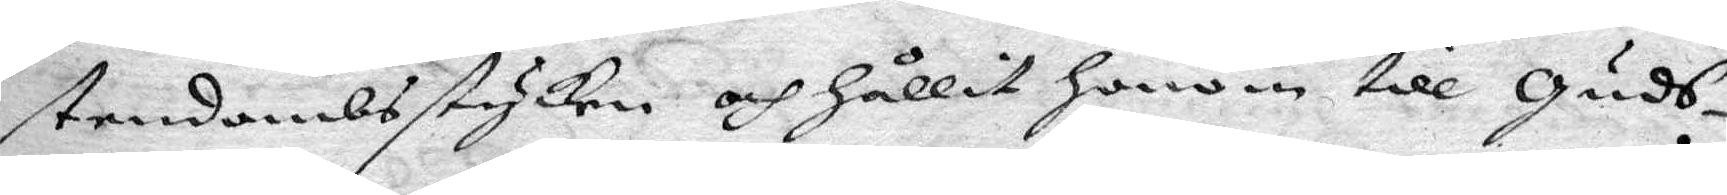stendombsstycken och hållit Honom till Guds¬
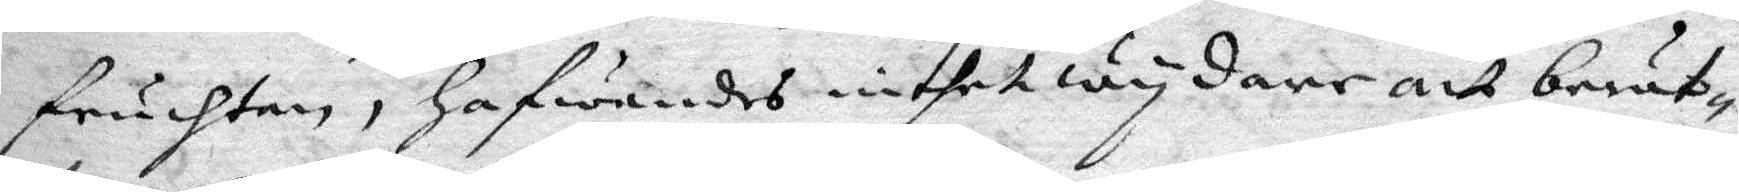fruchtan, hafwandes intet wydare att berät¬
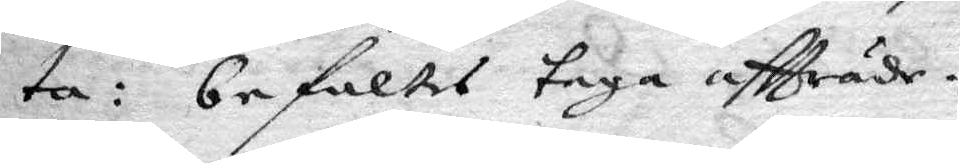ta, befaltes taga affträde.
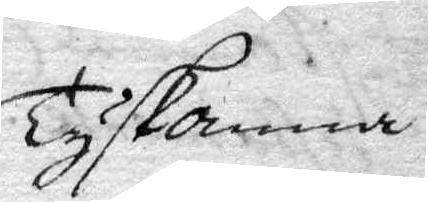Tysk anna.
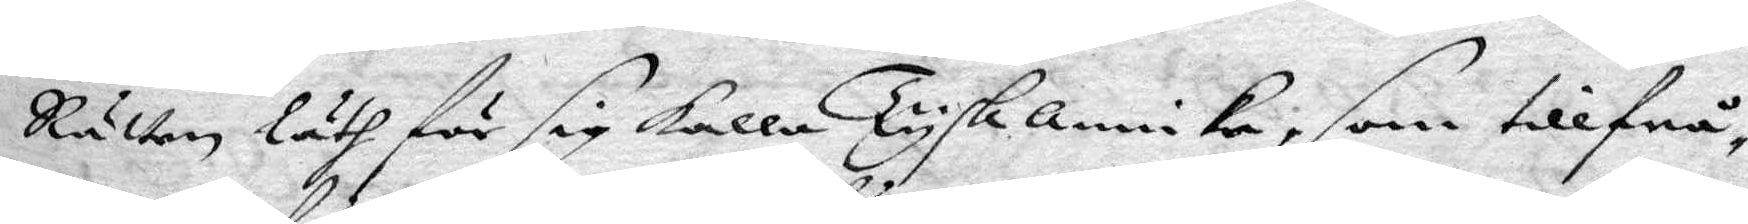Rätten läth för sig kalla Tysk annika, som tillfrå¬
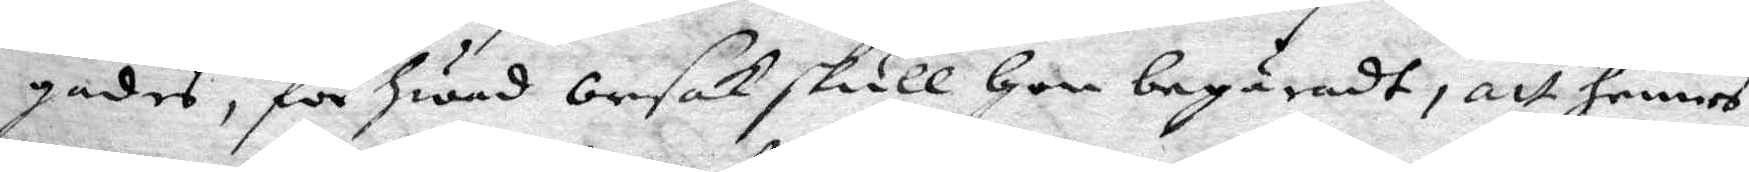gades, för hwad orsak skull hon begäradt, att hennes
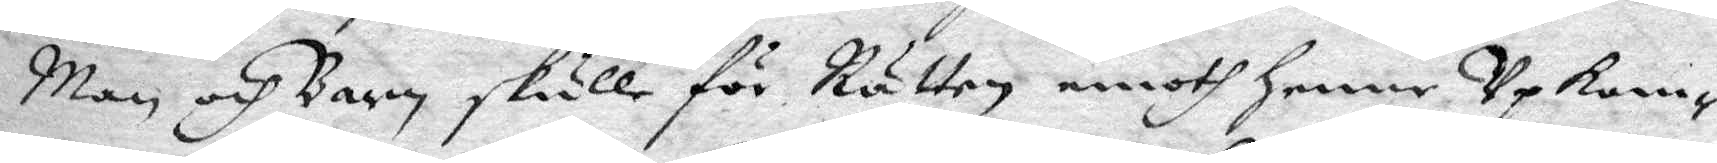Man och Barn skulle för Rätten emoth henne Upkom¬
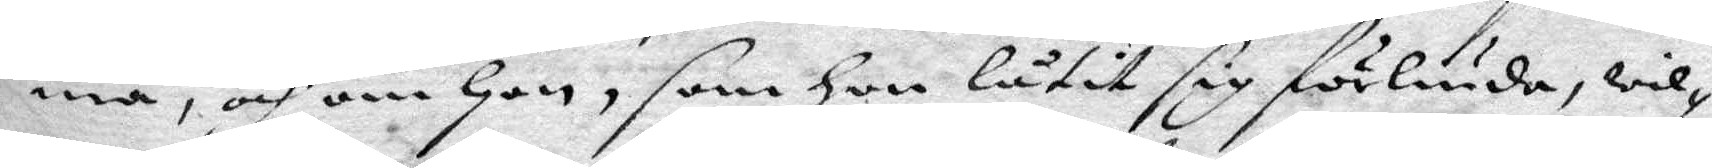ma, och om Hon, som Hon låtit sig förliuda, wil¬
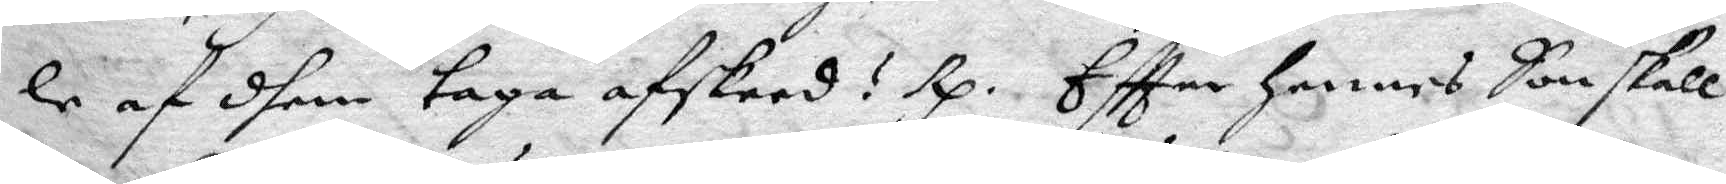le af dhem taga afskeed? Rp. Eftter Hennes Son skall
